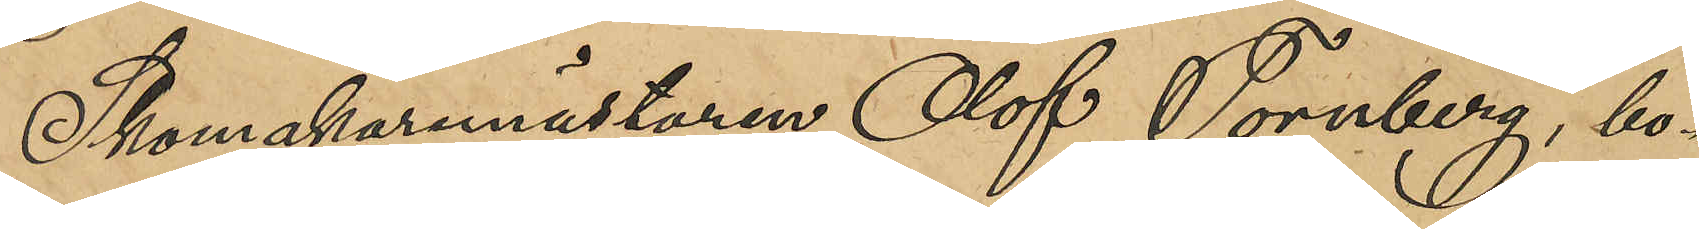Skomakaremästaren Olof Tornberg, bo¬
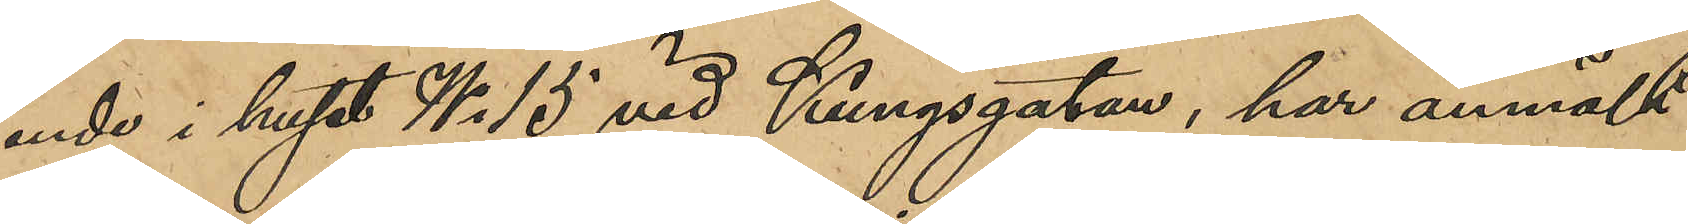ende i huset No 15 vid Kungsgatan, har anmält
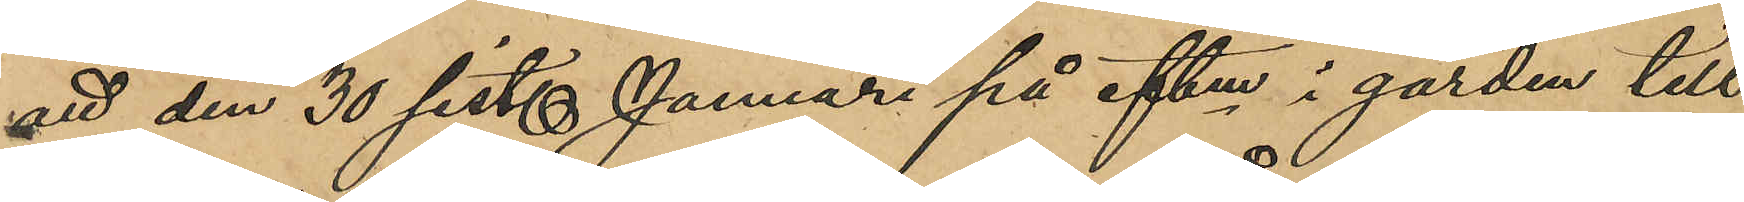att den 30 sist. Januari på eftm i gården till
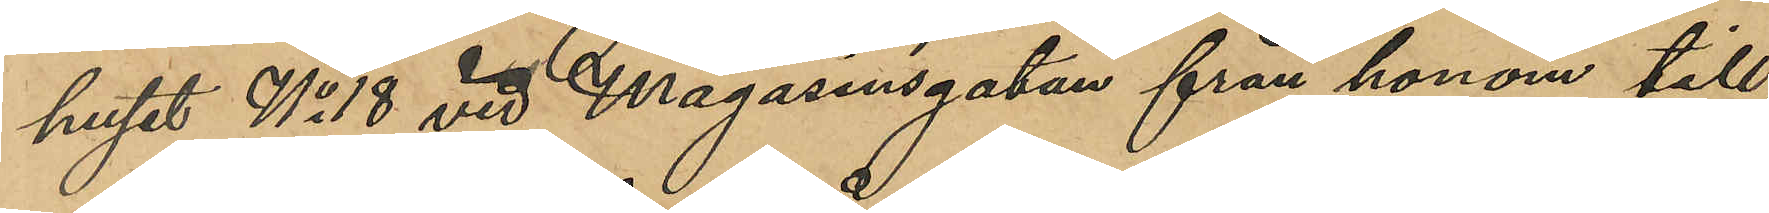huset No 18 vid Magasinsgatan från honom till¬
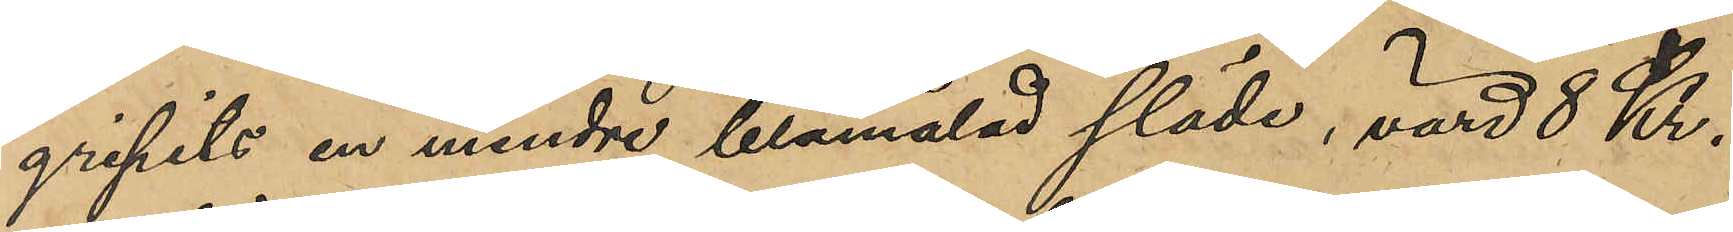gripits en mindre blåmålad släde, värd 8 Kr.
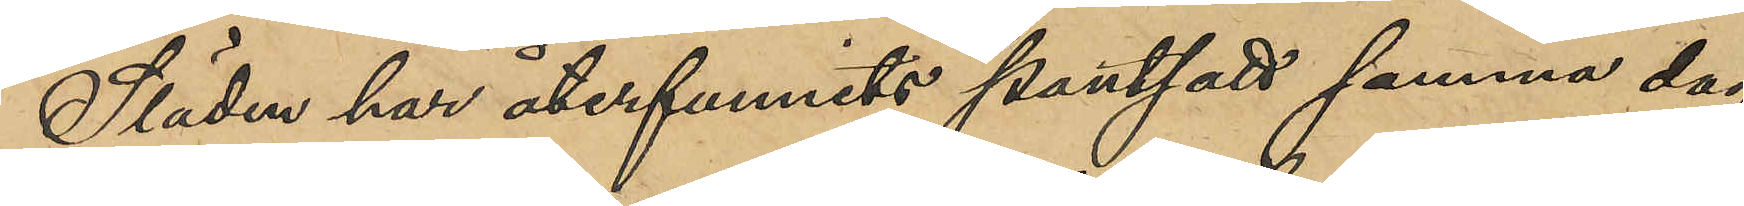Släden har återfunnits pantsatt samma dag
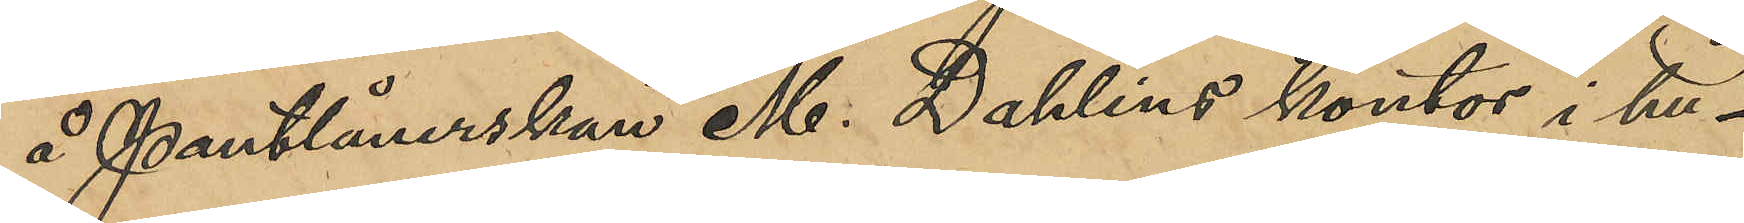å Pantlånerskan M. Dahlins kontor i hu¬
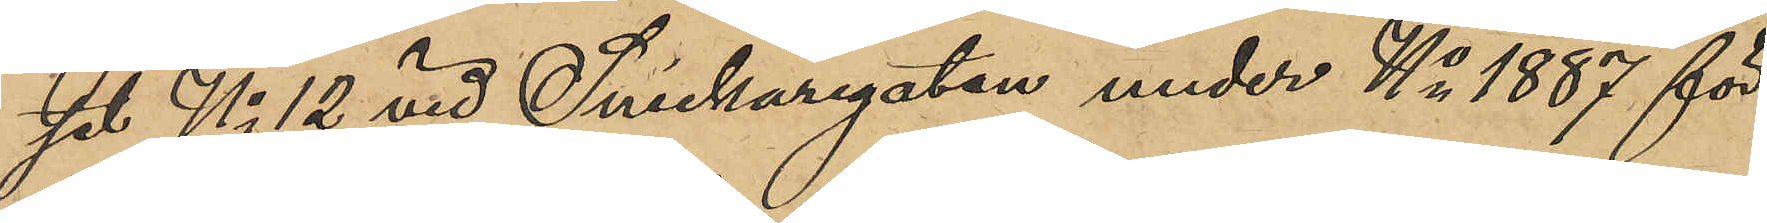set No 12 vid Snickaregatan under No 1887 för
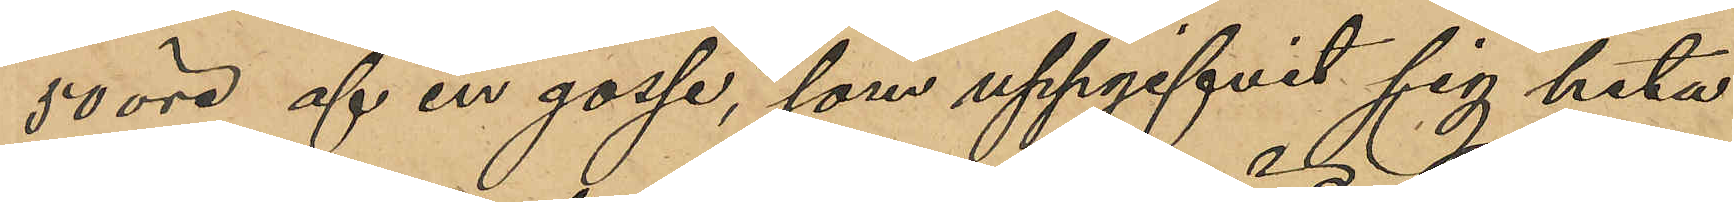50 öre af en gosse, som uppgifvit sig heta
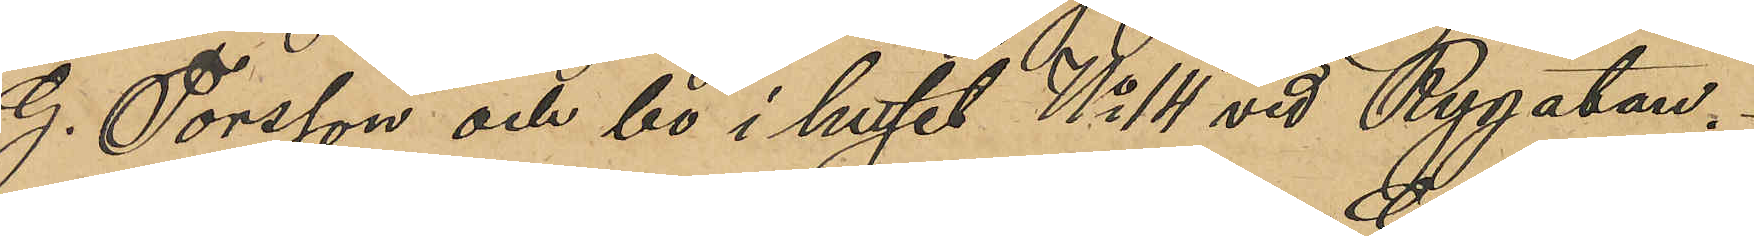G. Torsson och bo i huset No 14 vid Rygatan
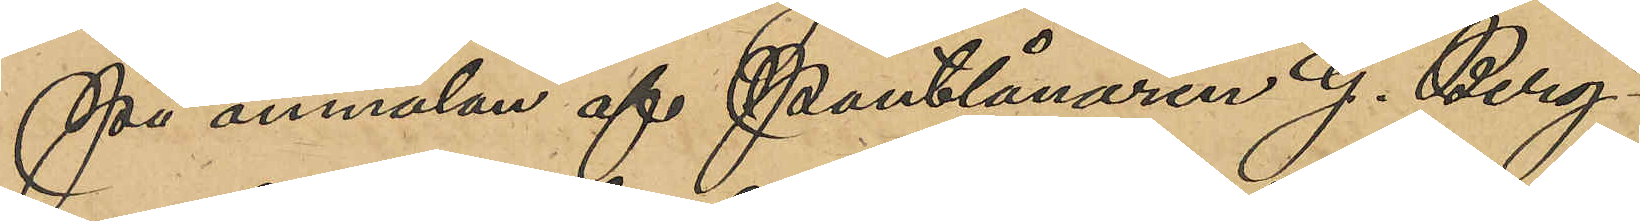På anmälan af Pantlånaren G. Berg¬
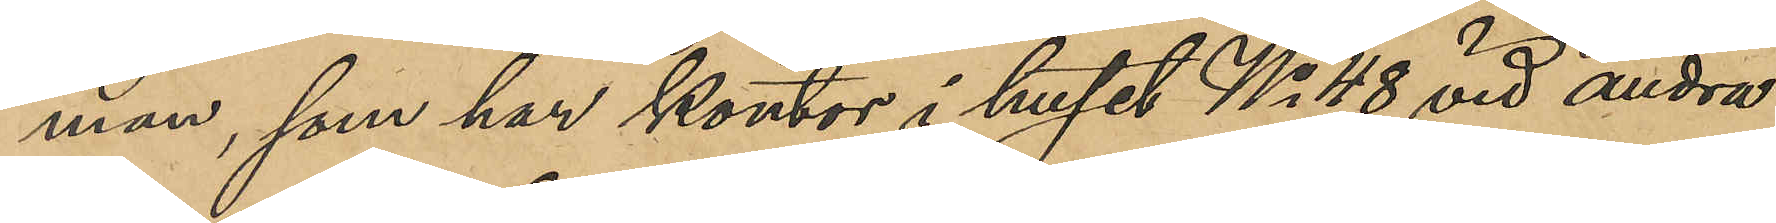man, som har kontor i huset No 48 vid andra
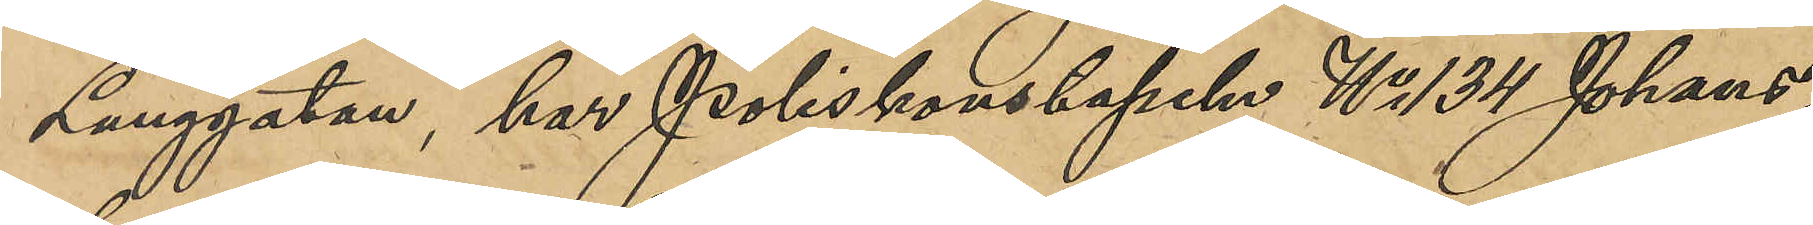Langgatan, har Poliskonstapeln No 134 Johans¬
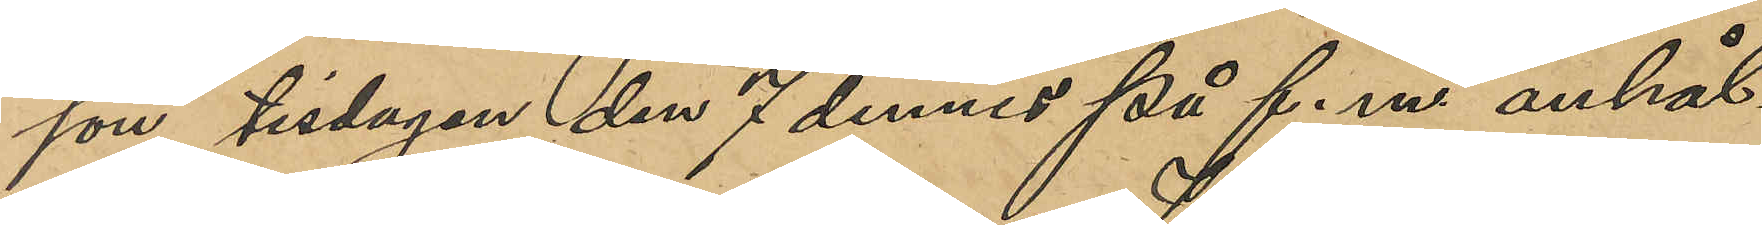son tisdagen den 7 dennes på f.m. anhål¬
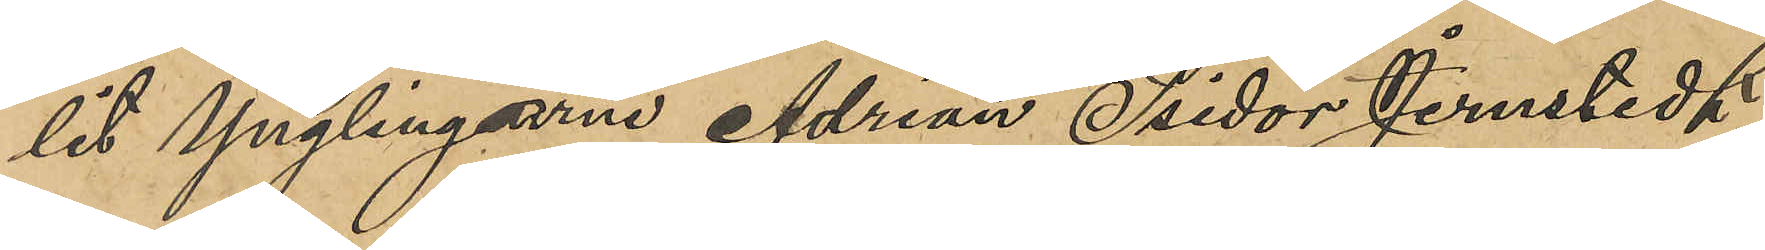lit Ynglingarna Adrian Isidor Jernstedt, 
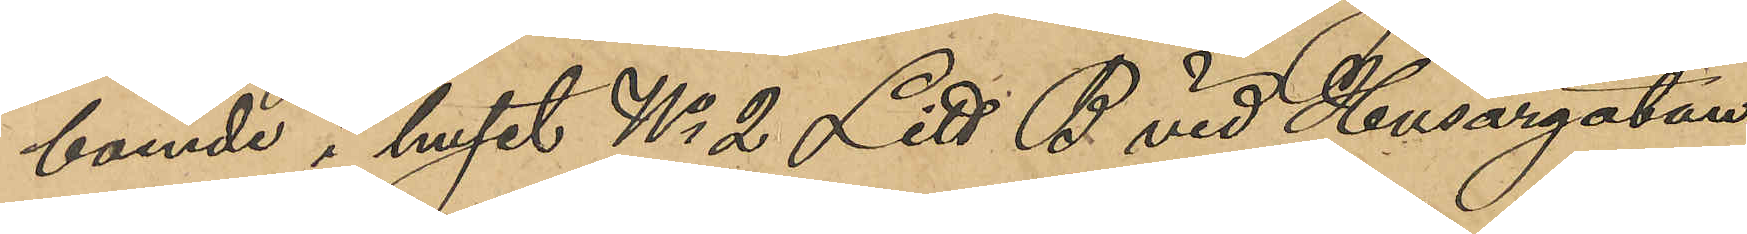boende i huset No 2 Litt. B vid Husargatan
